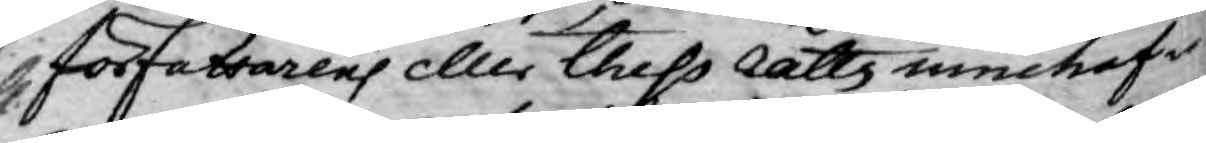författarens eller thess rätts innehafvare
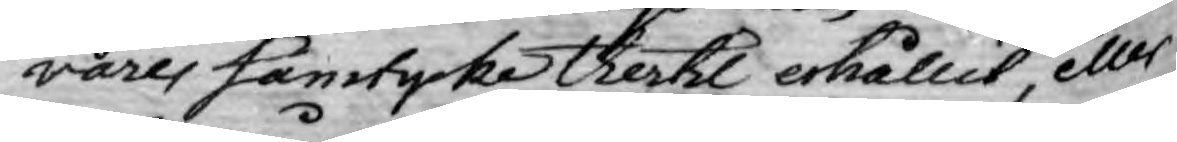vares samtycke thertil erhållit, eller
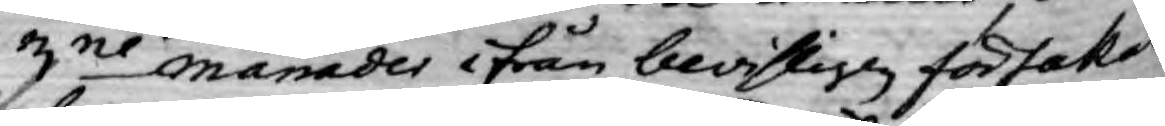3ne månades ifrån bevisligen försakat
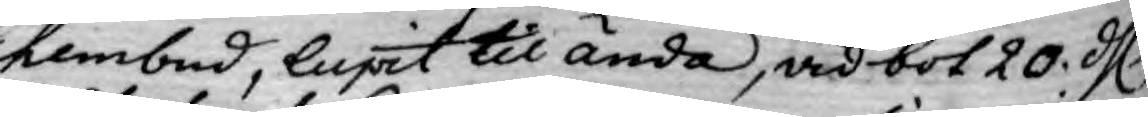hembud, lupit til ända, vid bot 20. dl.
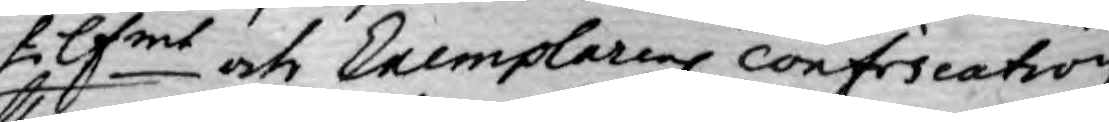silfmt och Exemplarens confiscation,
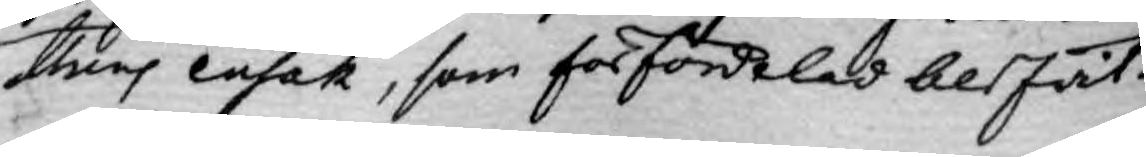thens ensak, som förfördelas blifvit.
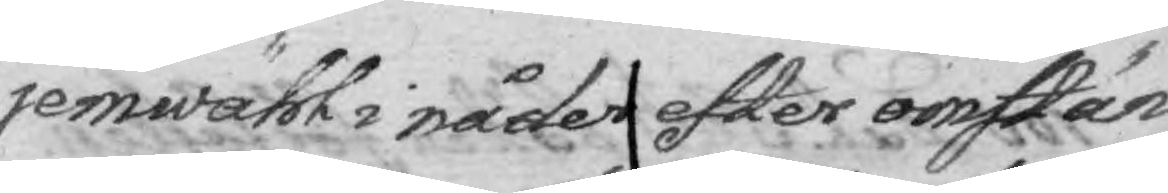jemwähl i nåder efter omstän¬
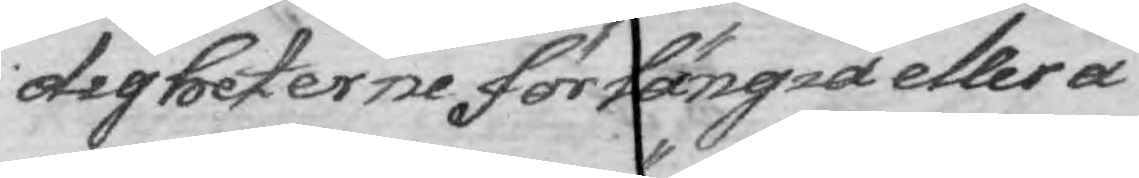digheterne, förlängia eller å
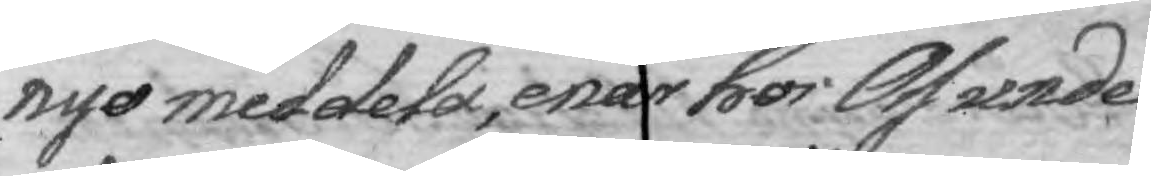nyo meddela, enär hos Oss under¬
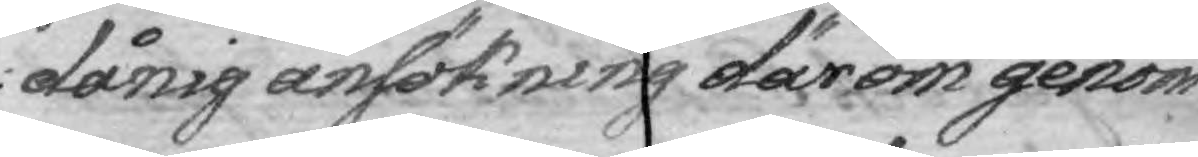dånig ansökning därom genom
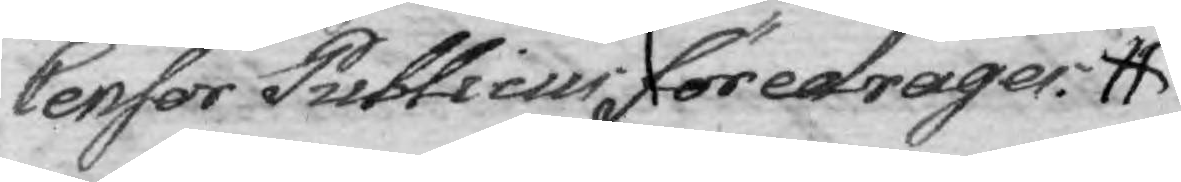Censor Publicus föredrager.
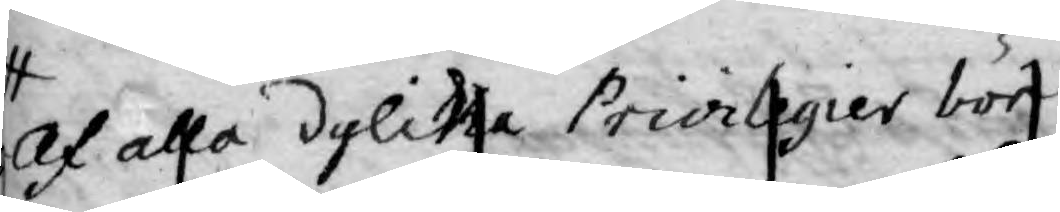Af alla dylika Privilegier bör 
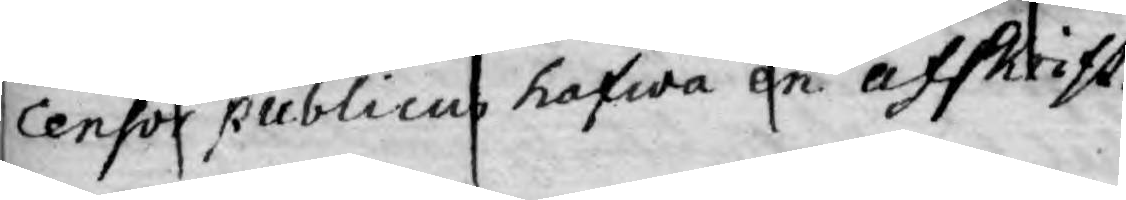Censor publicus hafwa en afskrift.
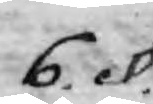6. §.
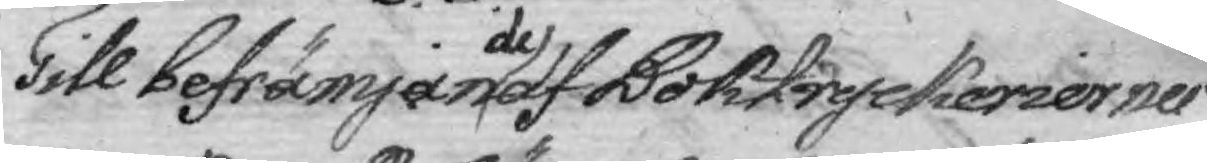Till befrämjande af Boktryckerierner
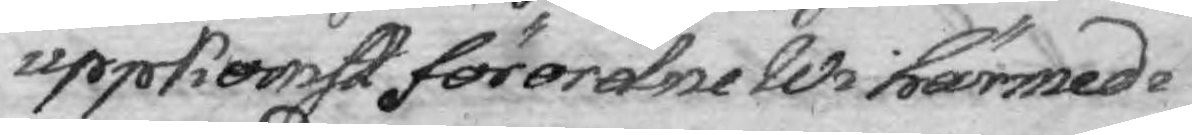uppkomst förordne WI härmed i 
